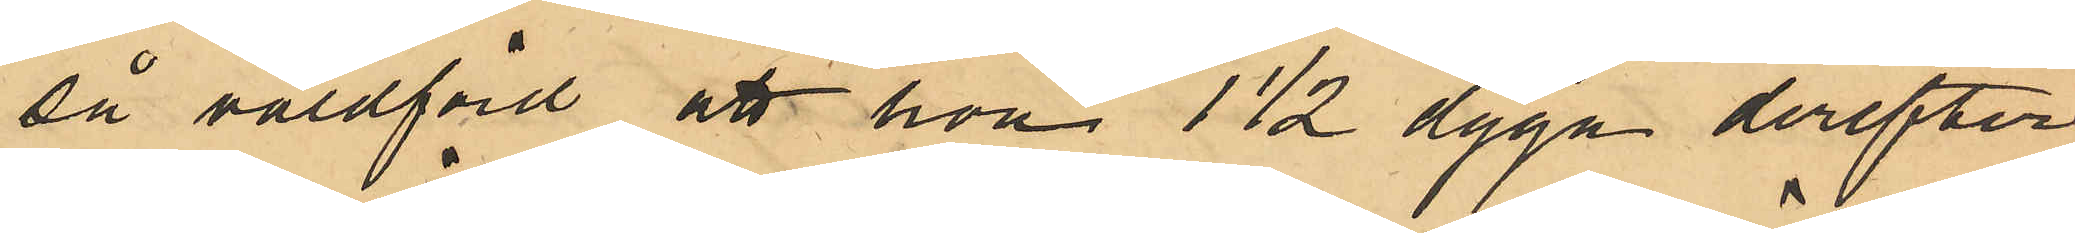så våldförd att hon 1 ½ dygn derefter
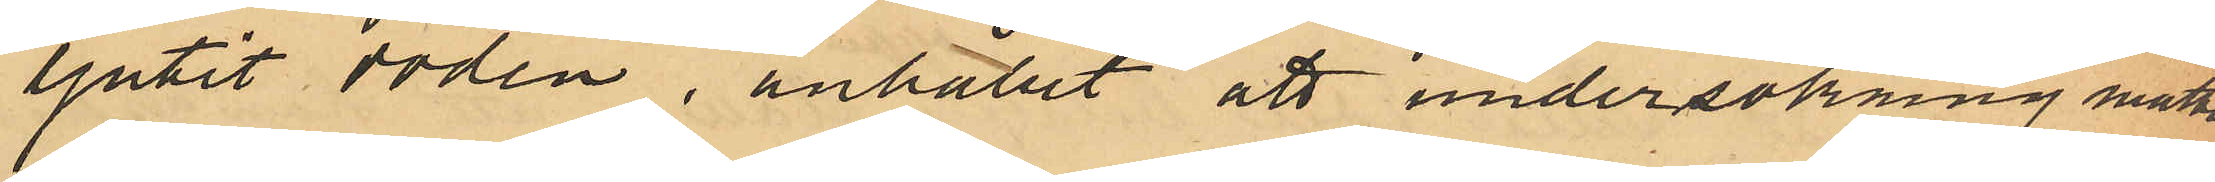ljutit döden, anhållit att undersökning måtte
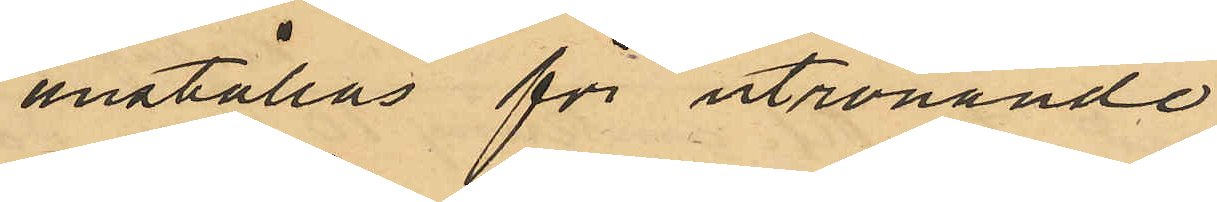anställas utrönande 
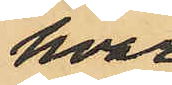hvar
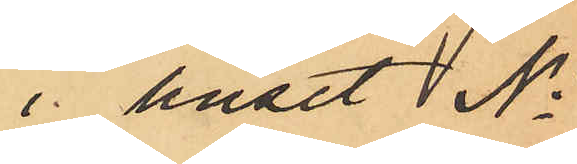i huset No
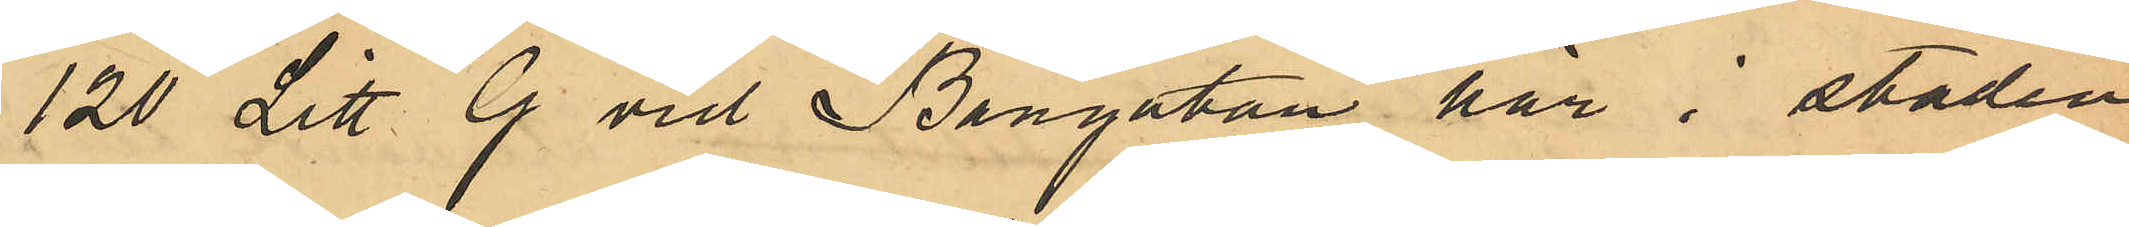120 Litt. G vid Bangatan här i staden
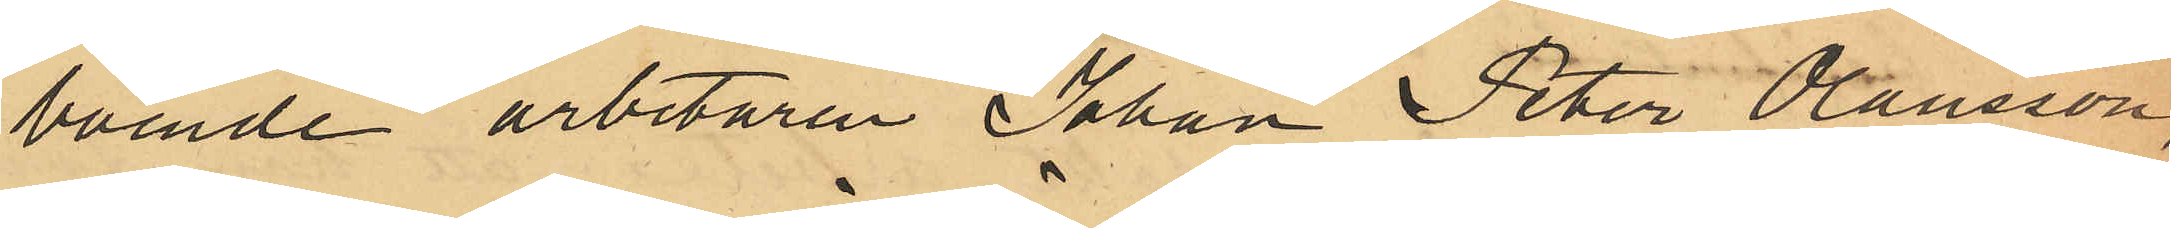boende arbetaren Johan Peter Olausson,
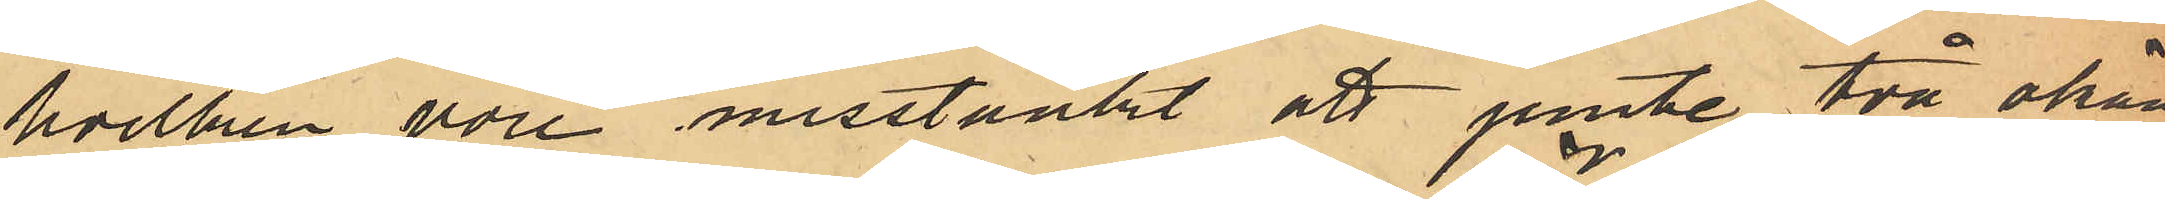hvilken vore misstänkt att jemte två okän¬
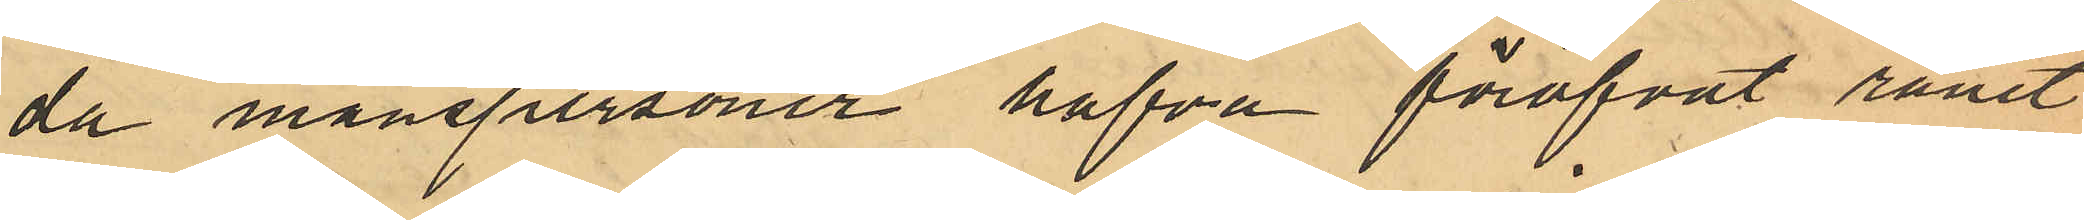da manspersoner hafva föröfvat rånet
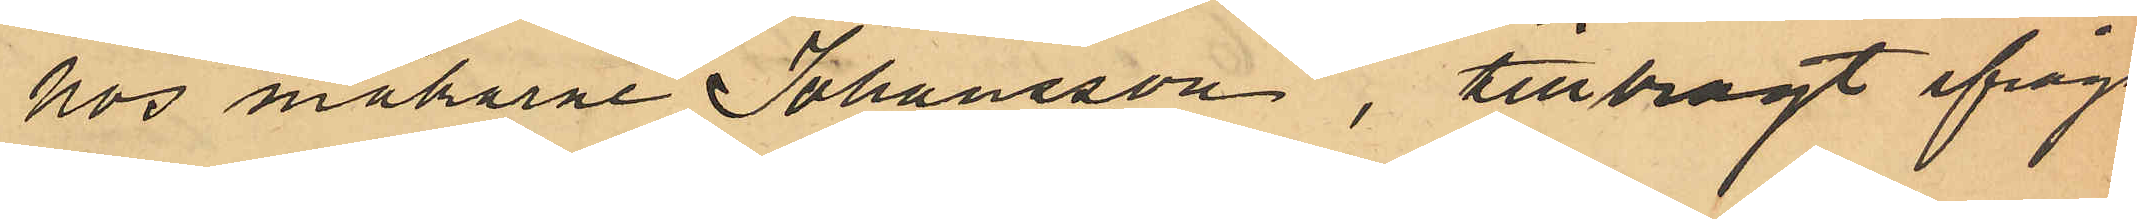hos makarna Johansson, tillbragt ifråga¬
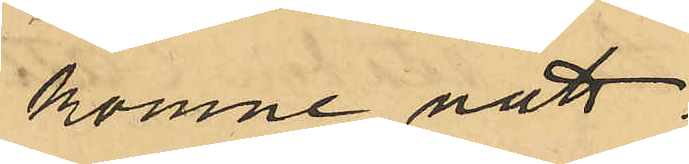komne natt.
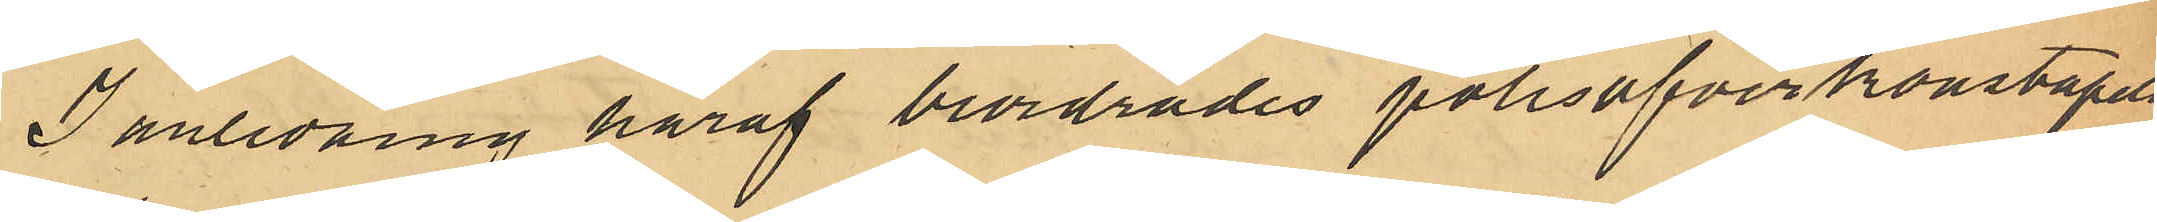I anledning häraf beordrades polisöfverkonstapeln
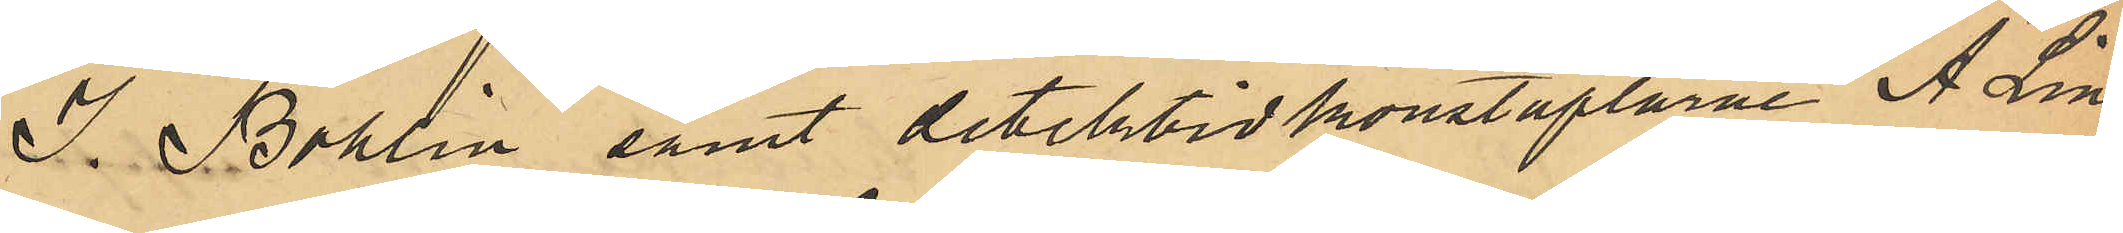J. Bohlin samt detektivkonstaplarne A. Lind¬
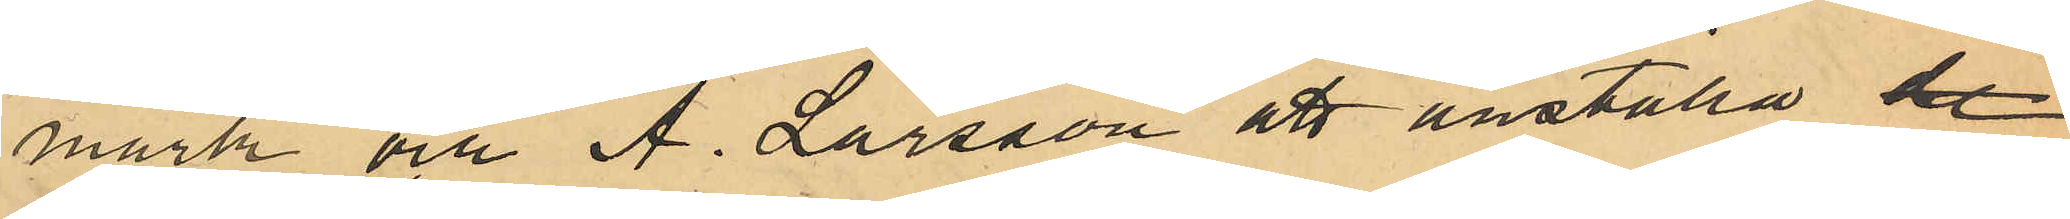mark och A. Larsson att anställa de
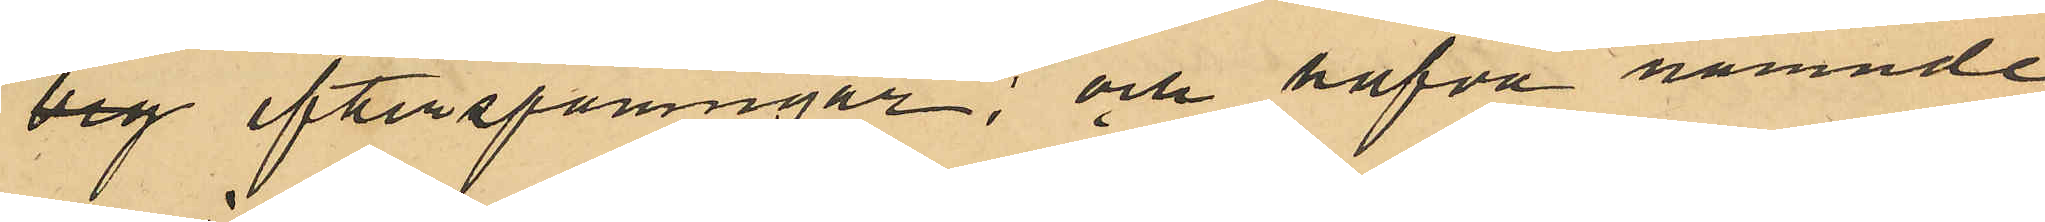beg efterspaningar; och hafva nämnde
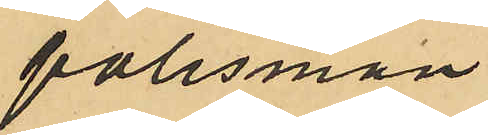polismän
